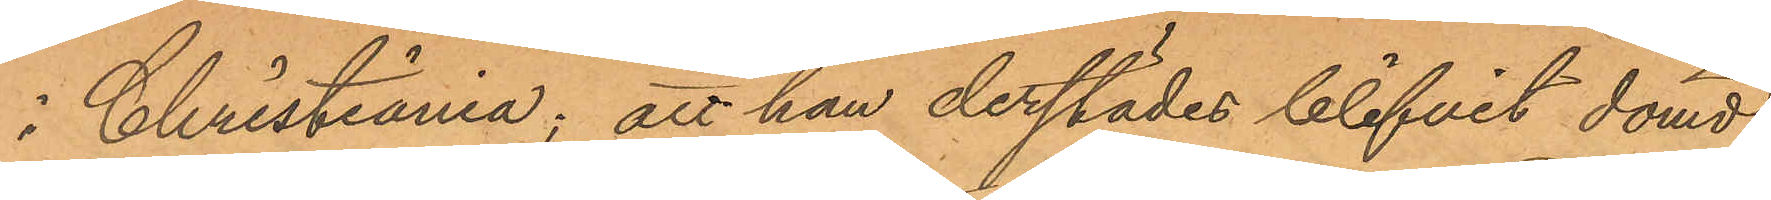i Christiania; att han derstädes blifvit dömd
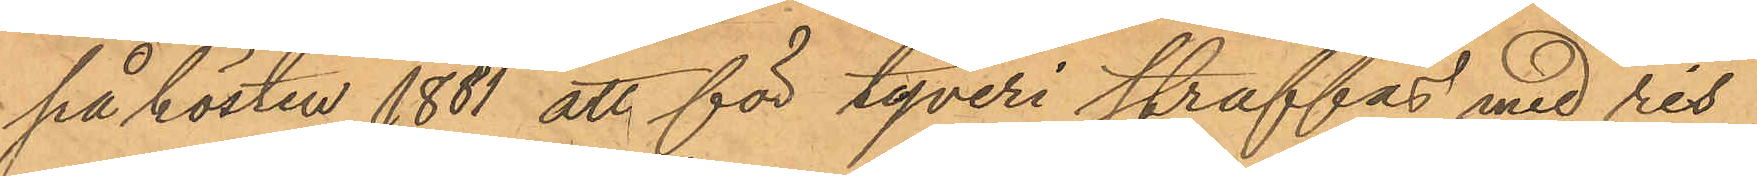på hösten 1881 att för tyveri straffas med ris
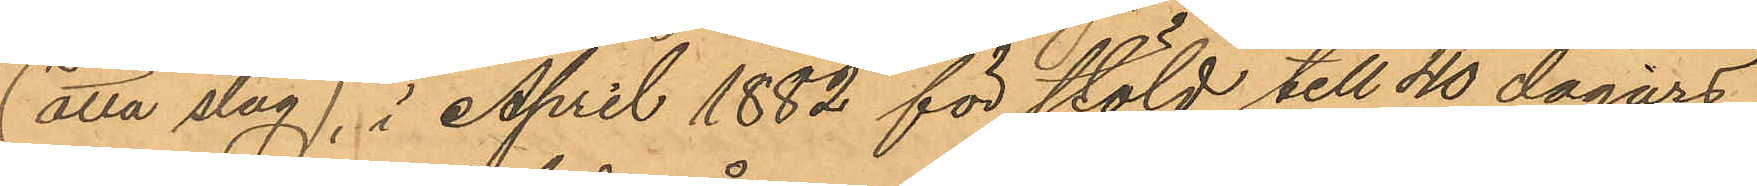(åtta slag), i April 1882 för stöld till 40 dagars
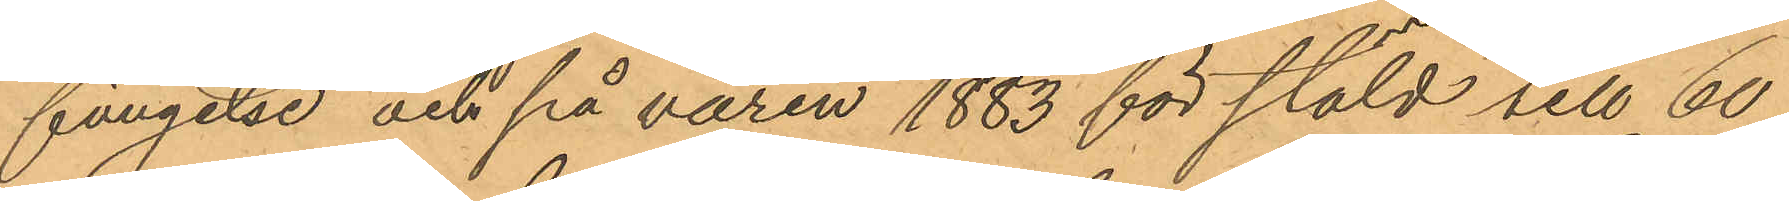fängelse och på våren 1883 för stöld till 60
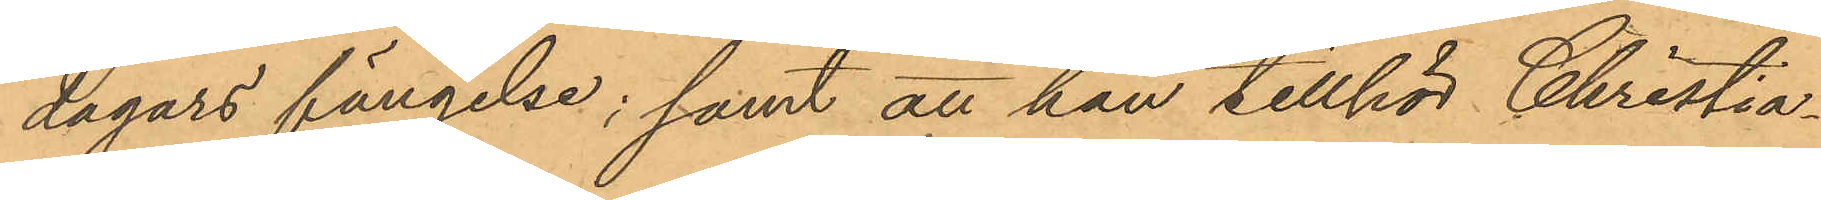dagars fängelse; samt att han tillhör Christia¬
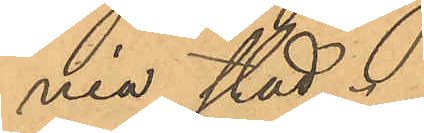nia stad.
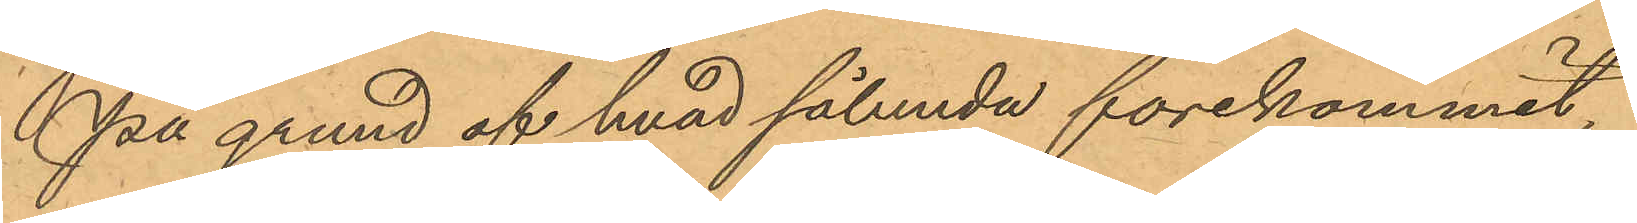På grund af hvad sålunda förekommit,
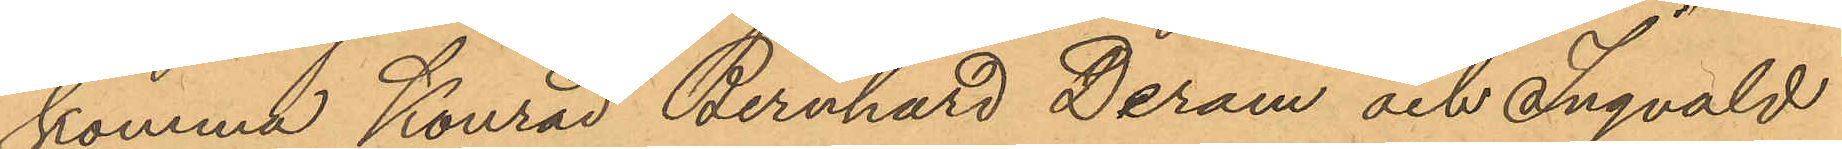komma Konrad Bernhard Deram och Ingvald
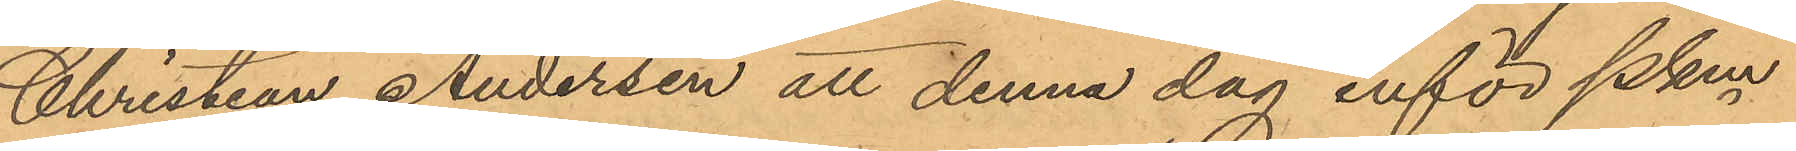Christian Andersen att denna dag inför Pkm
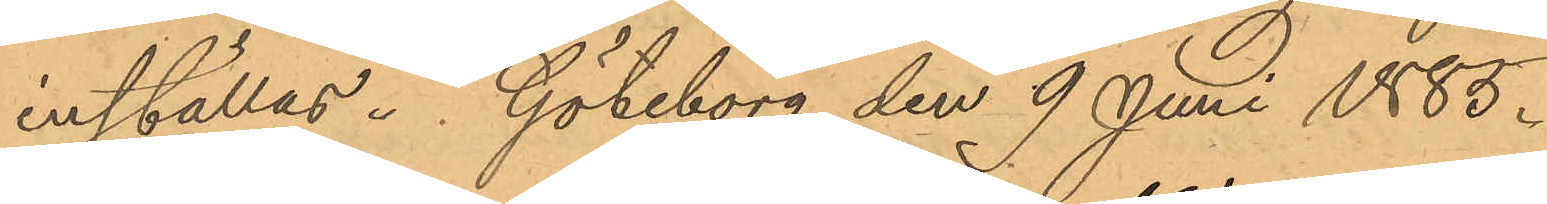inställas. Göteborg den 9 Juni 1885.
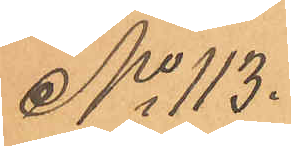No 113.
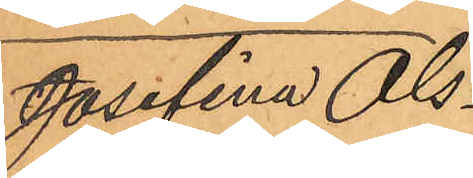Josefina Ols¬
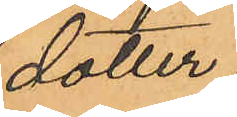dotter.
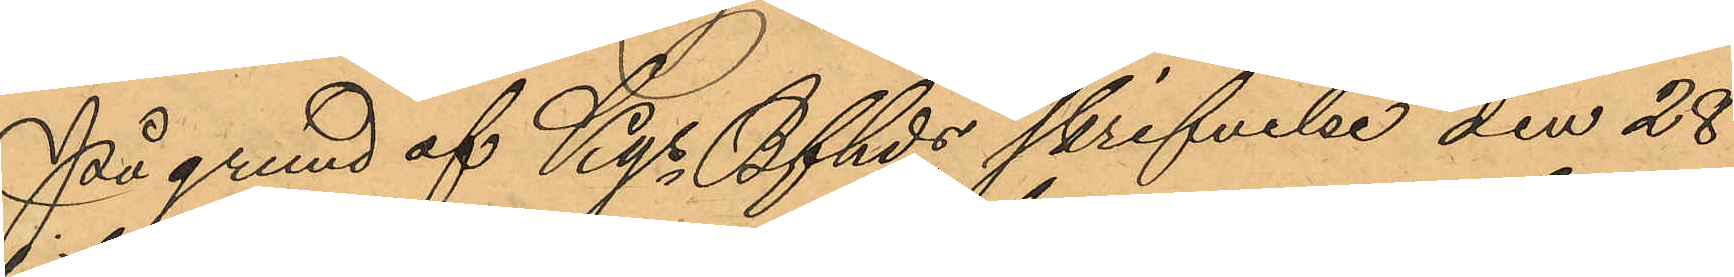På grund af Kgs Bfhds skrifvelse den 28
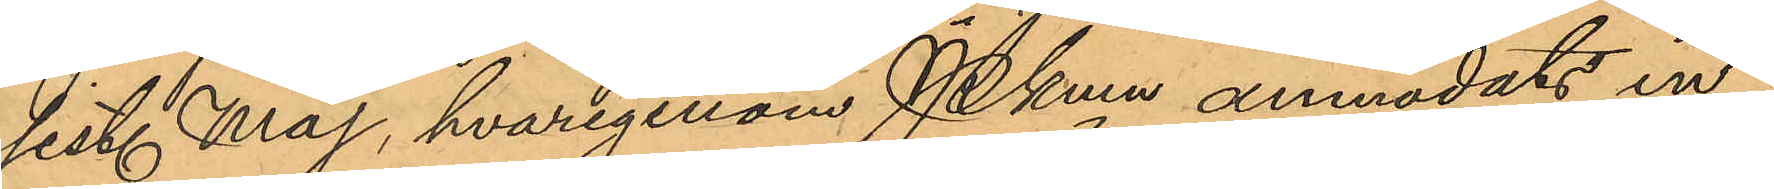sist. Maj, hvarigenom Pkmn anmodats in¬
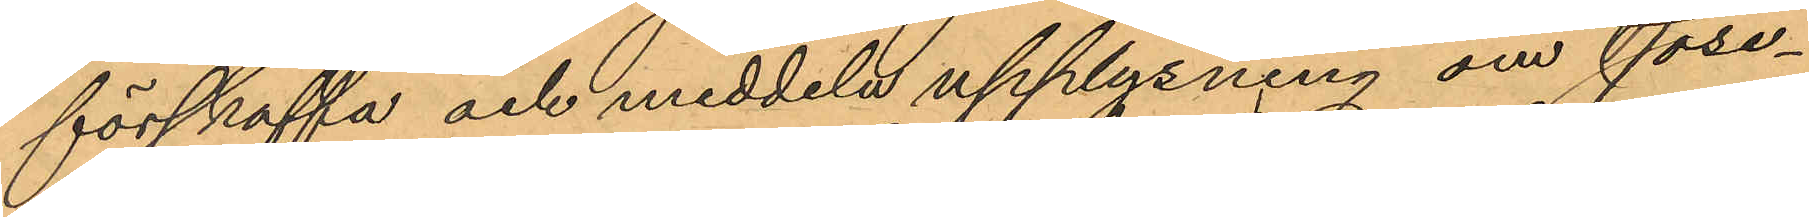förskaffa och meddela upplysning om Jose¬
